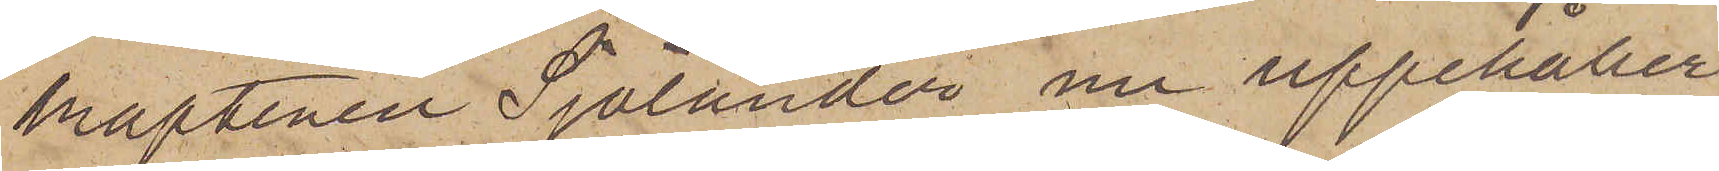kaptenen Sjölander nu uppehåller
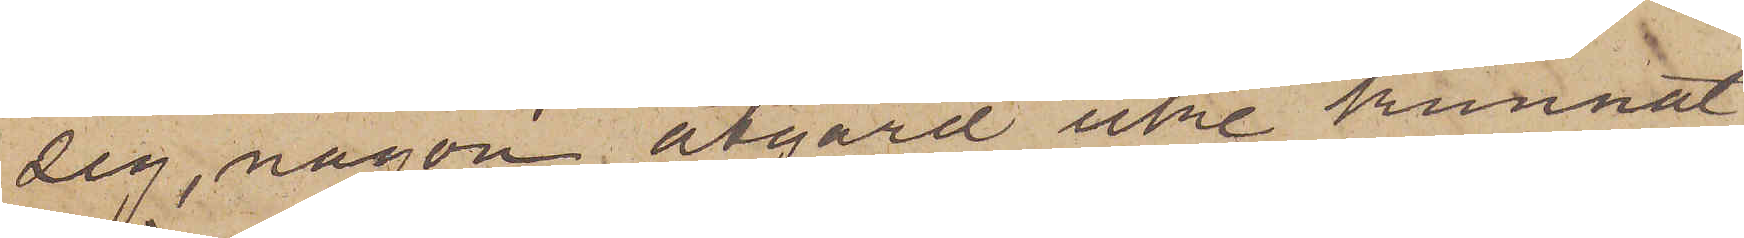sig, någon åtgärd icke kunnat
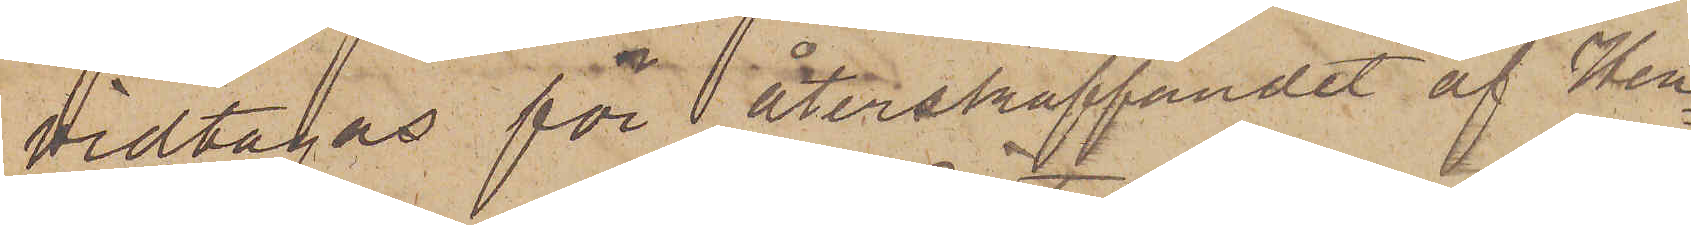vidtagas för återstraffandet af Hen¬
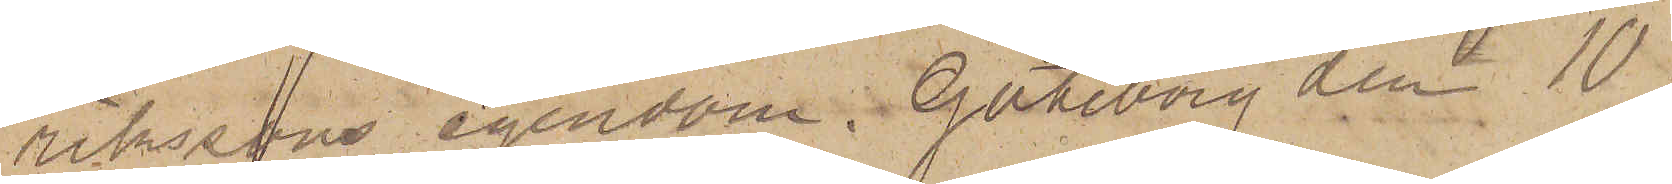rikssons egendom. Göteborg den 10
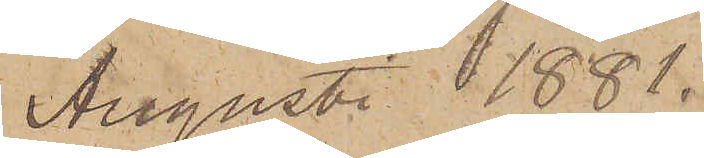Augusti 1881.
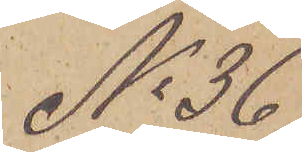No 36
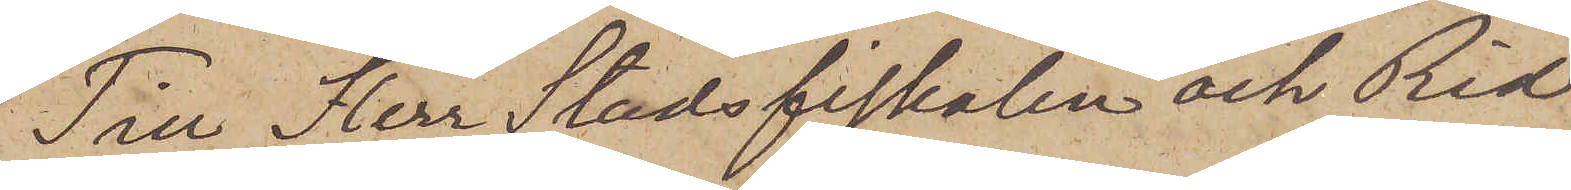Till Herr Stadsfiskalen och Rid¬
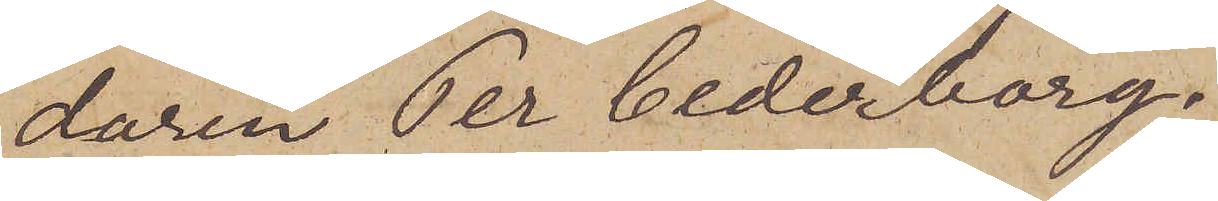daren Per Cederborg.
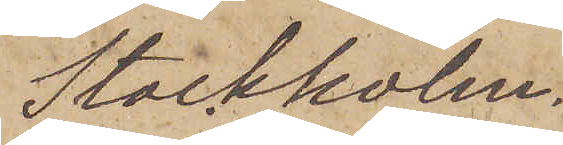Stockholm.
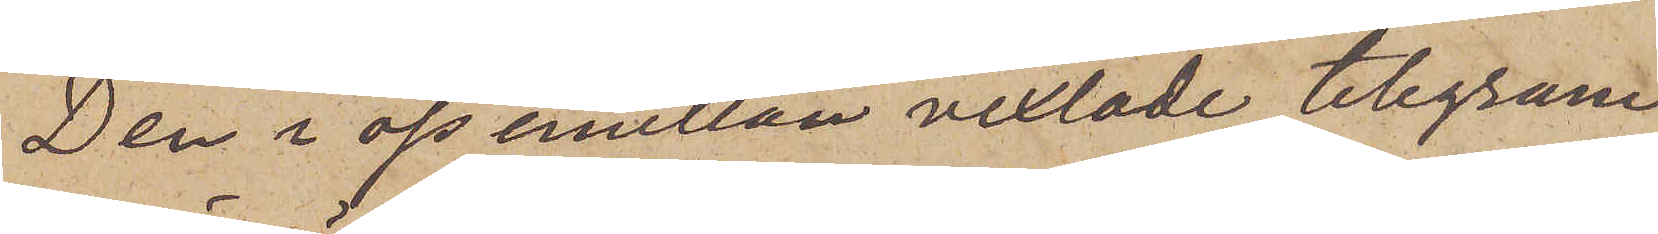Den i oss emellan vexlade telegram
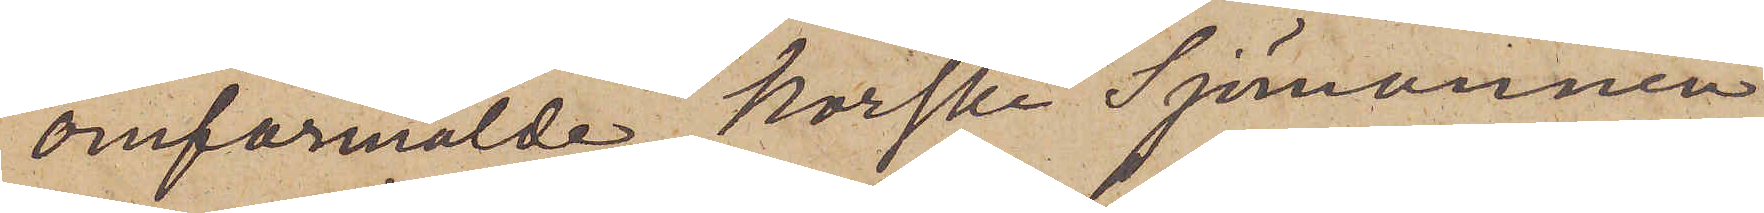omförmälde Norska Sjömannen
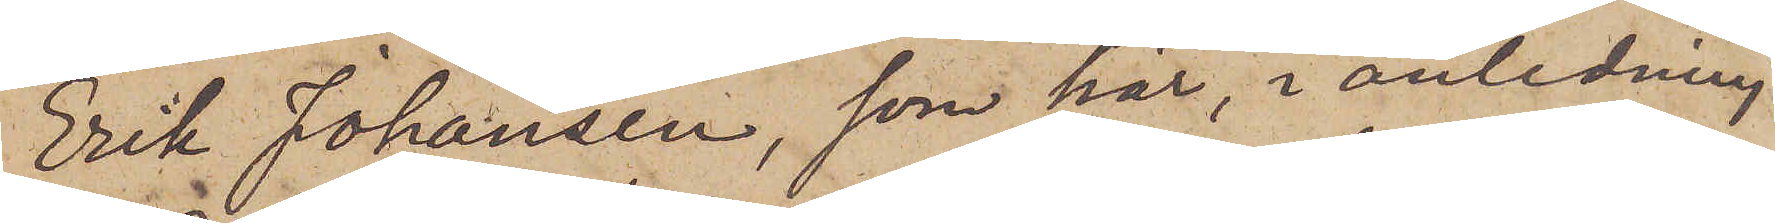Erik Johansen, som här, i anledning
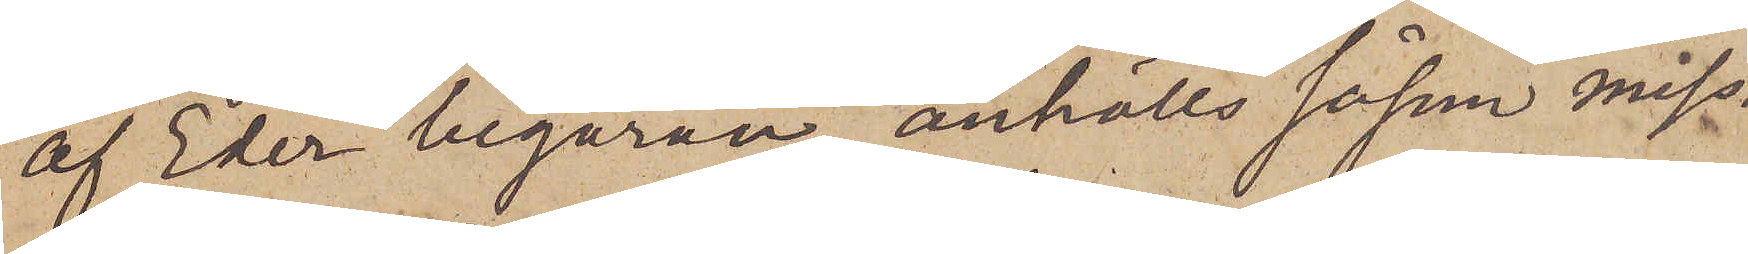af Eder begäran, anhölls såsom miss¬
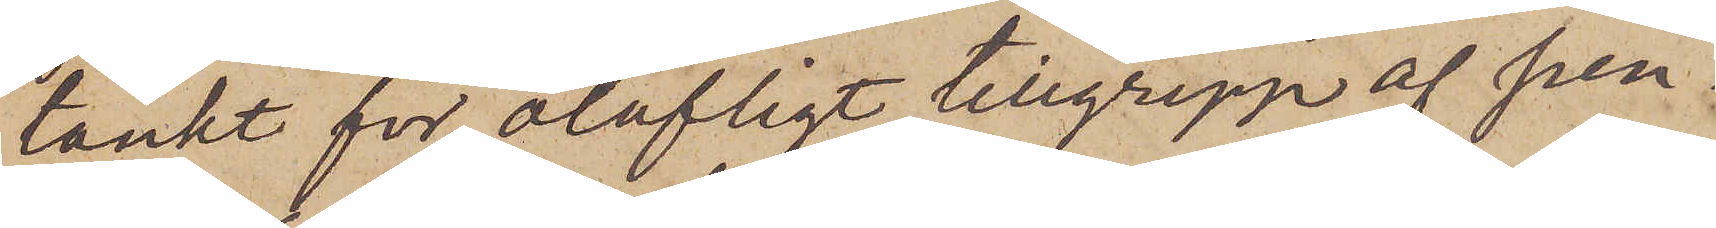tänkt för olofligt tillgrepp af pen¬
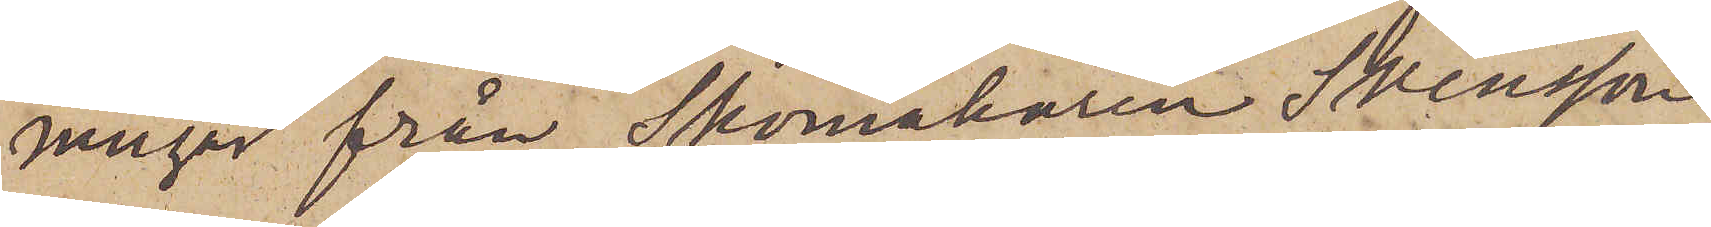ningar från Skomakaren Svensson,
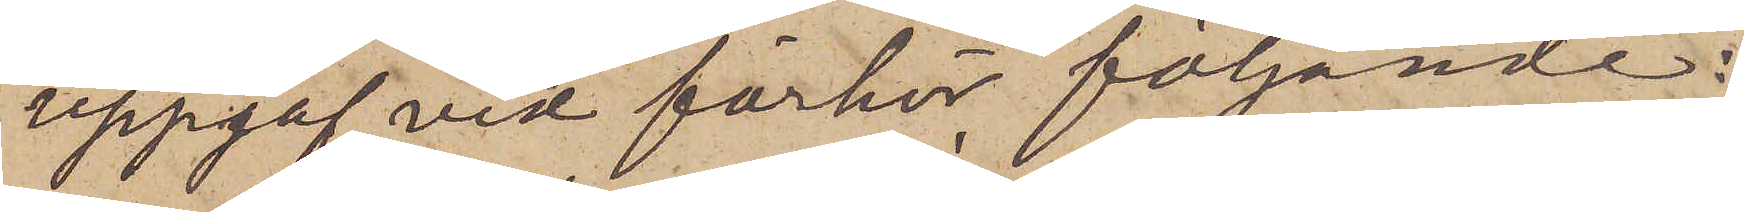uppgaf vid förhör följande:
